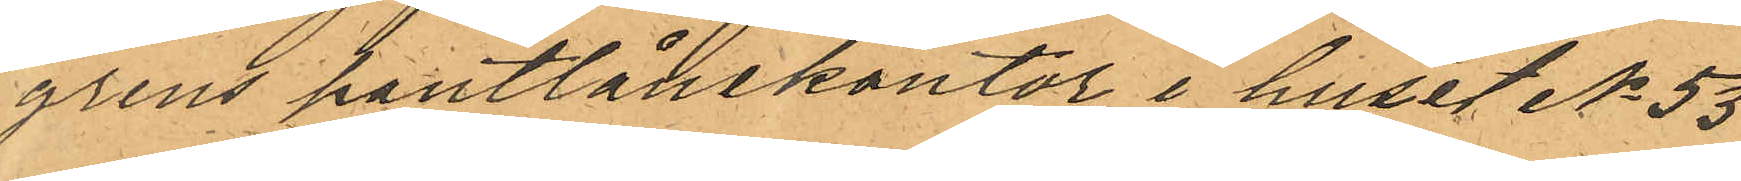grens pantlånekontor i huset No 53
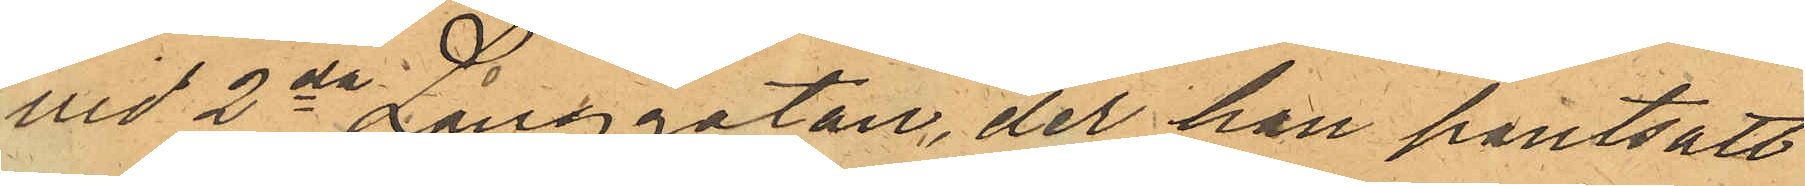vid 2da Långgatan, der han pantsatt
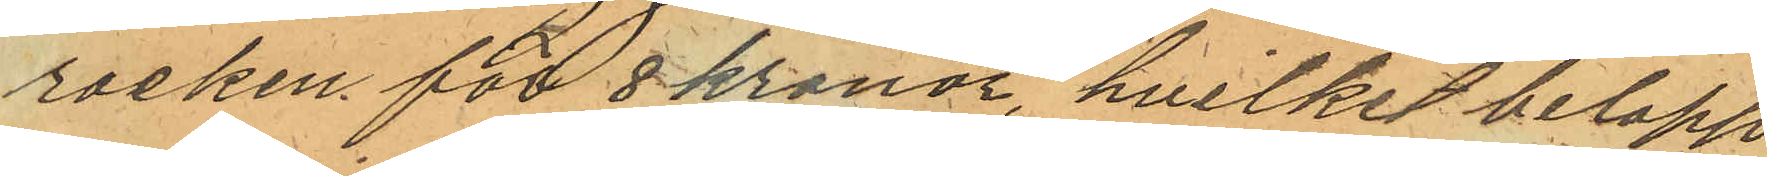rocken för 8 kronor, hvilket belopp
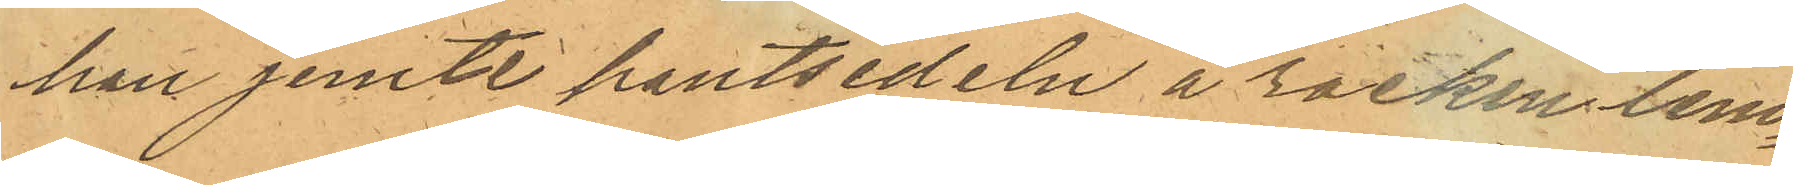han jemte pantsedeln å rocken lem¬
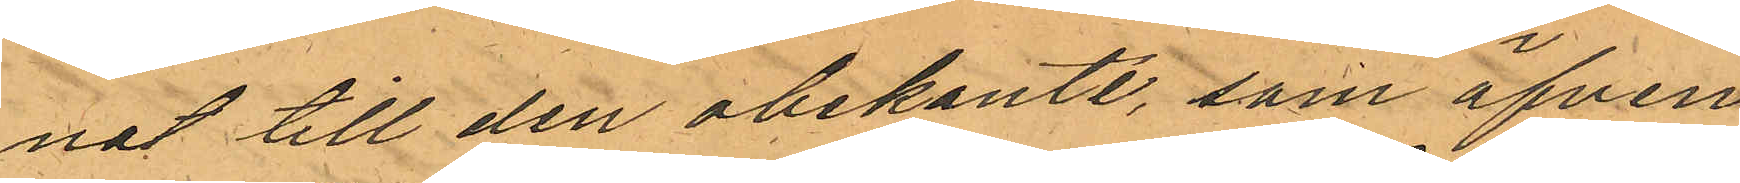nat till den obekante, som äfven
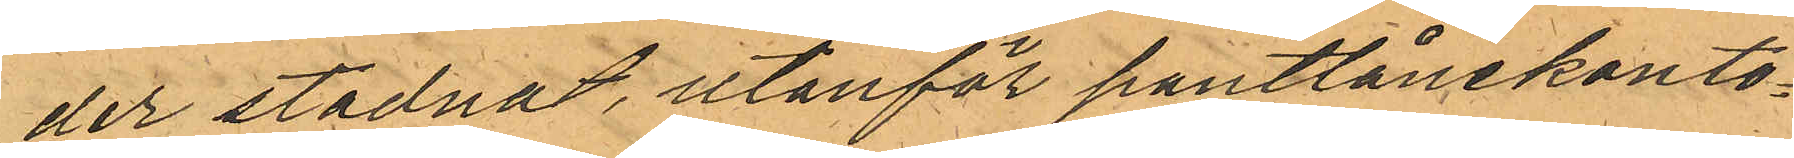der stadnat, utanför pantlånekonto¬
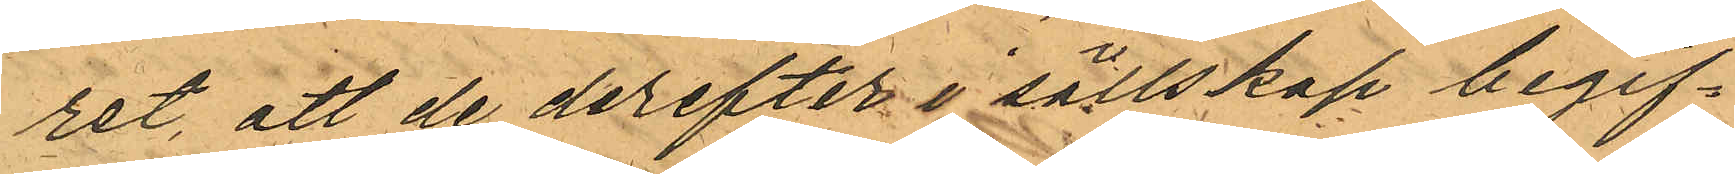ret, att de derefter i sällskap begif¬
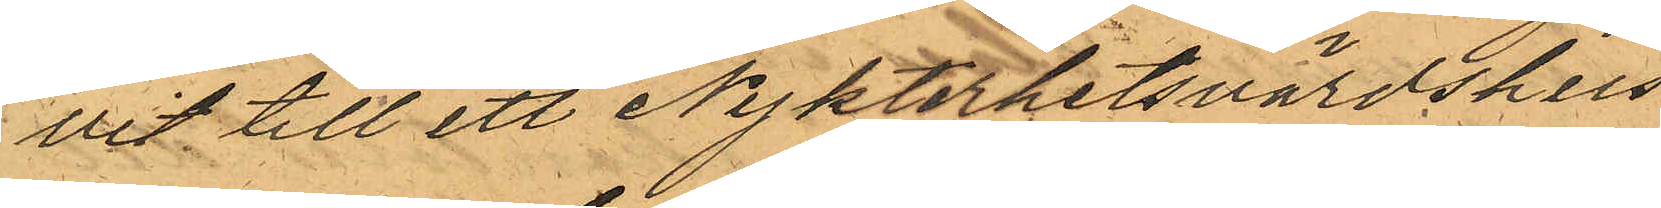vit till ett Nykterhetsvärdshus
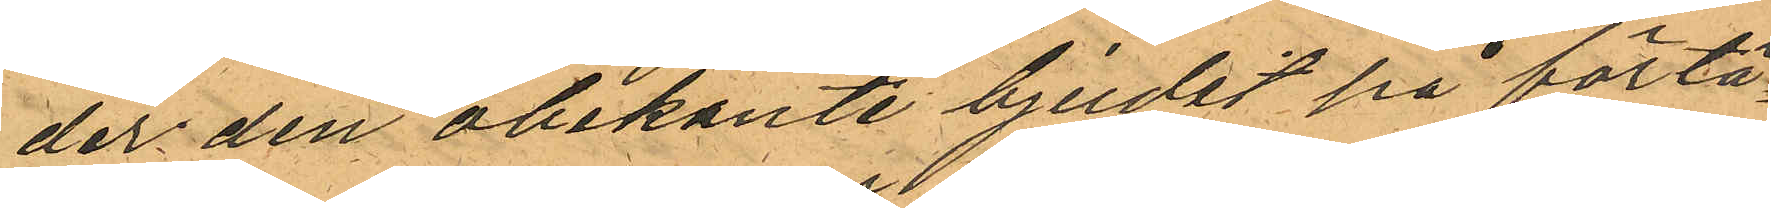der den obekante bjudit på förtä¬
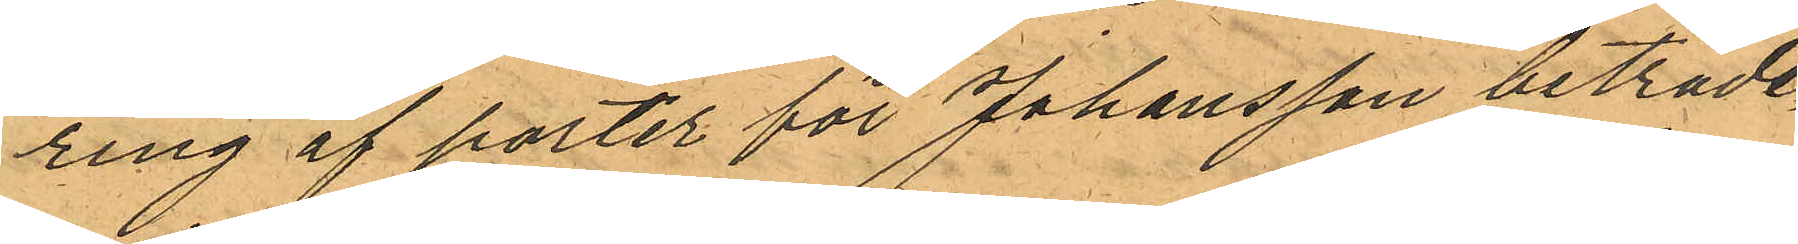ring af porter för Johansson biträde
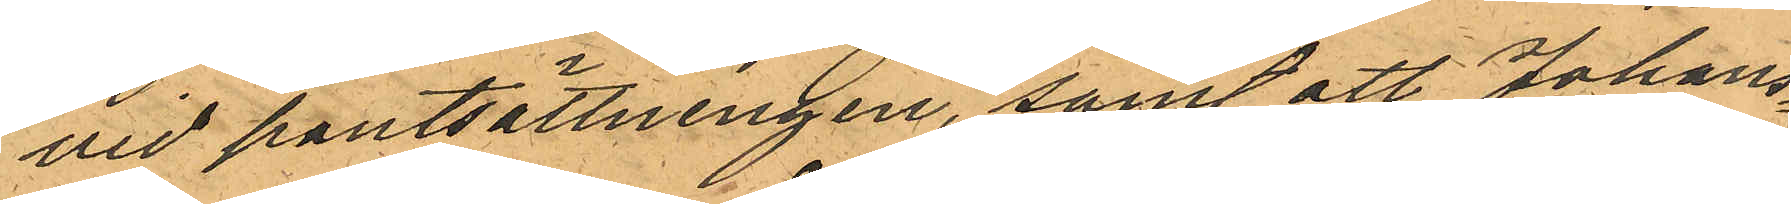vid pantsättningen, samt att Johans¬
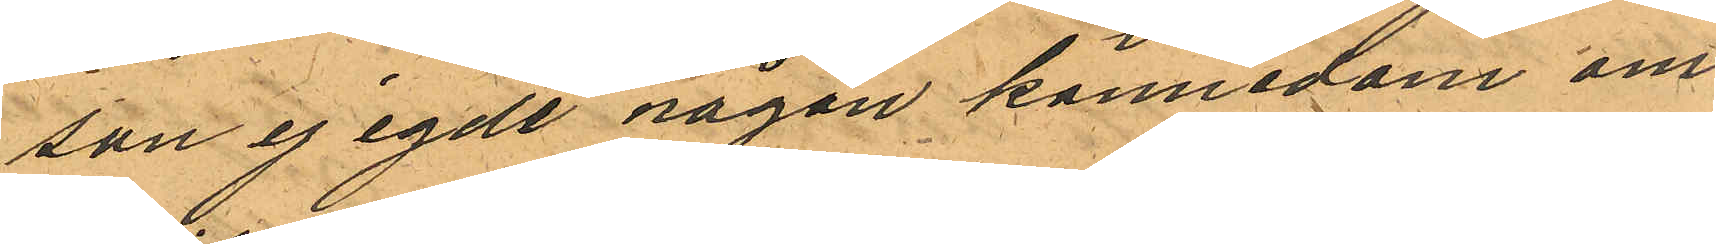son ej egde någon kännedom om
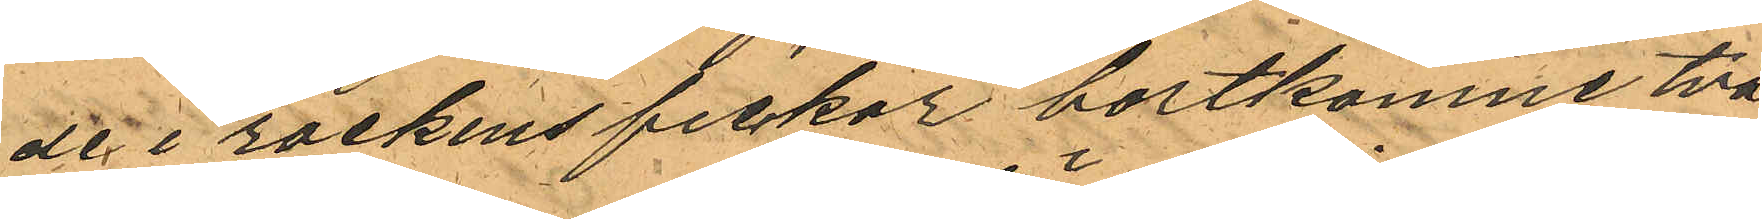de i rockens fickor bortkomne två
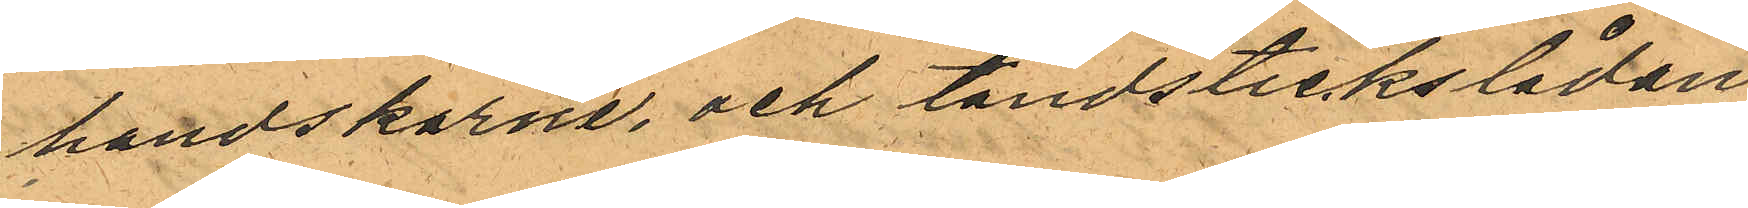handskarne, och tändstickslådan
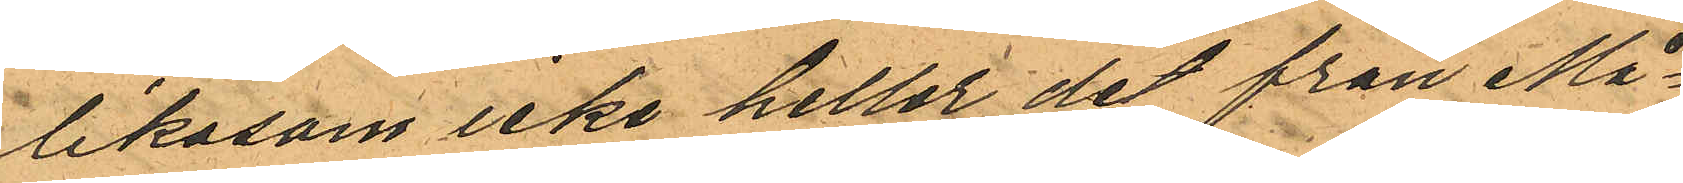likasom icke heller det från Må¬
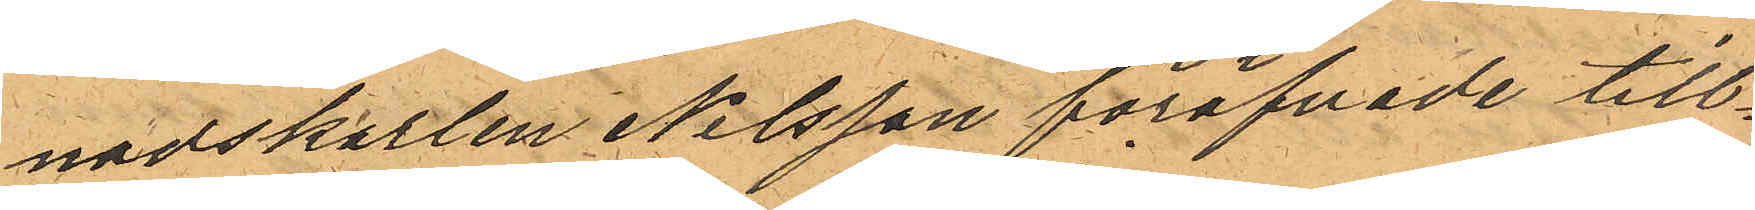nadskarlen Nilsson föröfvade till¬
